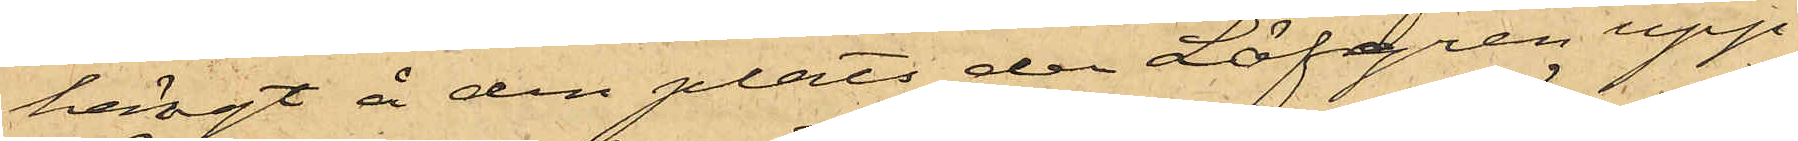hängt å den plats der Löfgren upp¬
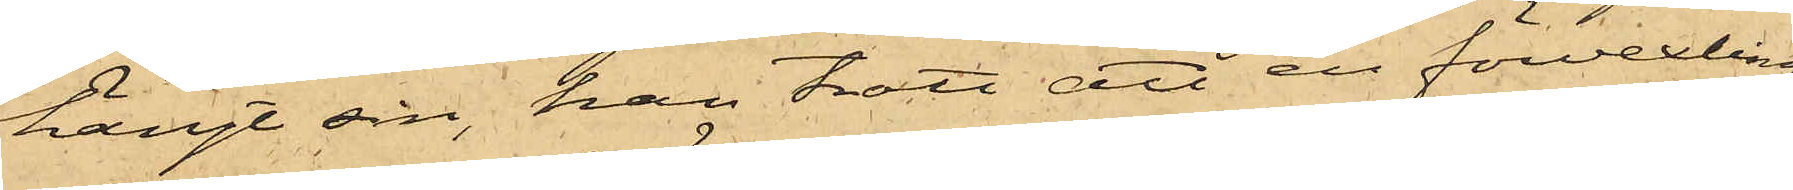hängt sin, han trott att en förvexling
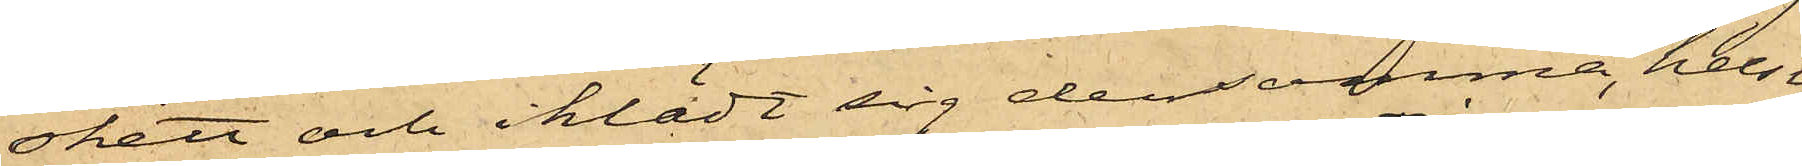skett och iklädt sig densamma, helst
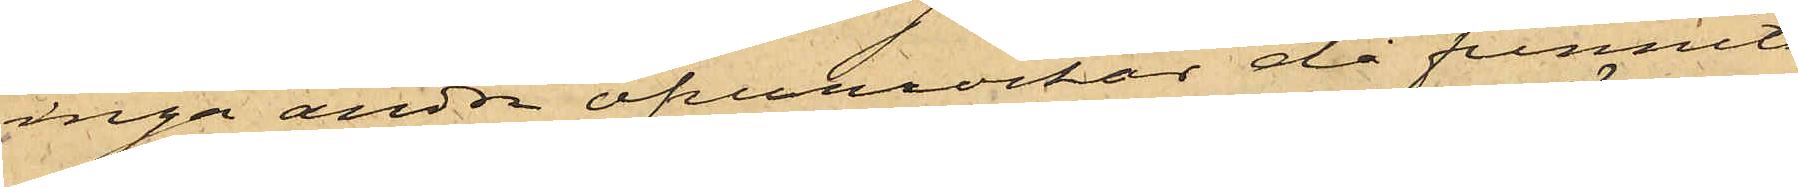inga andra öfverrockar då funnits
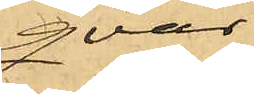qvar;
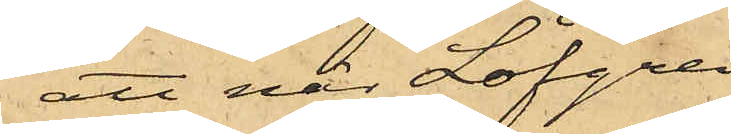att när Löfgren
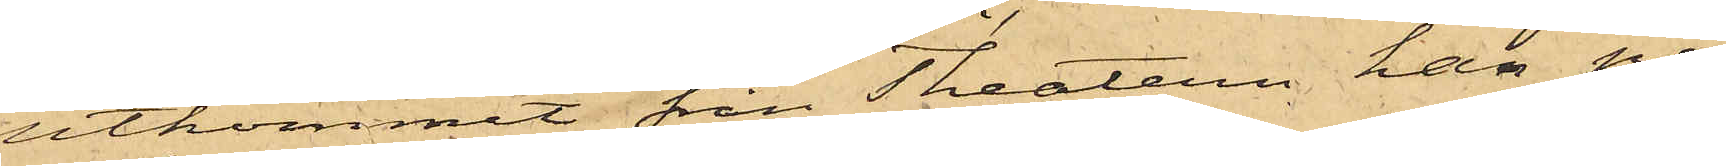utkommit från Theatern, han på¬
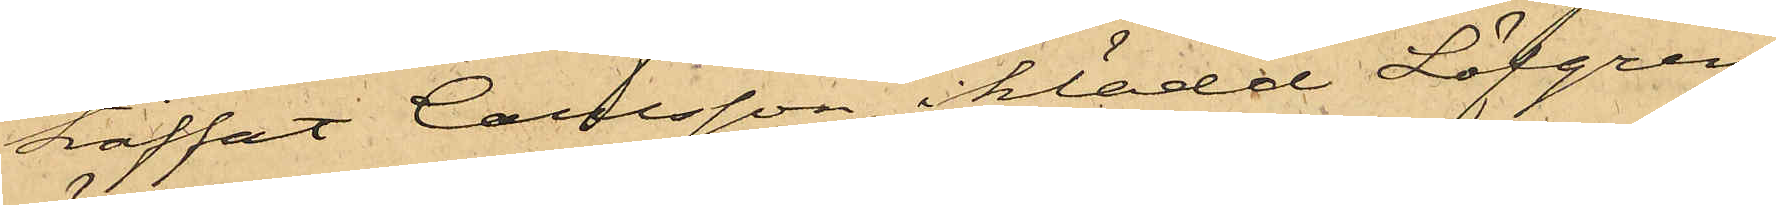träffat Carlsson, iklädd Löfgrens
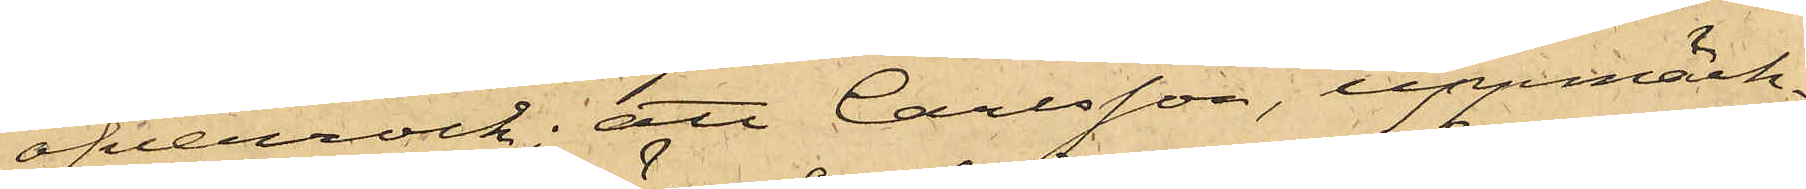öfverrock; att Carlsson, uppmärk¬
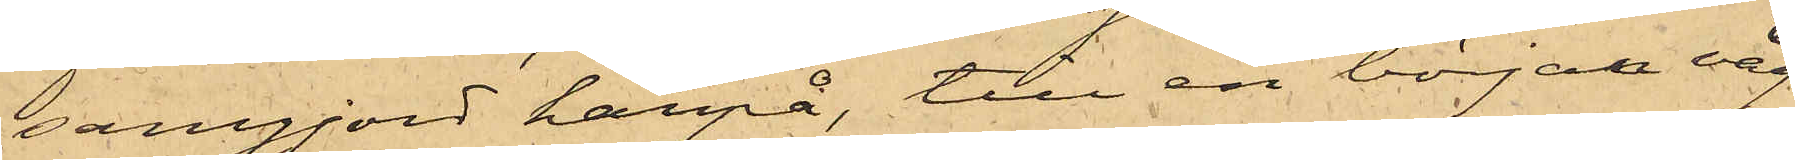samgjord härpå, till en början väg¬
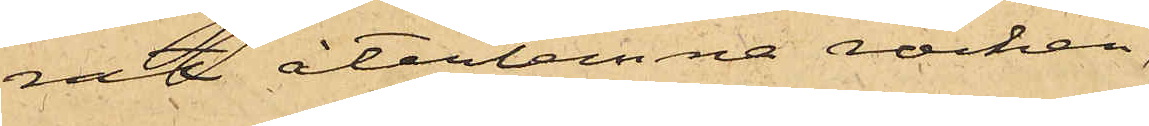rat återlemna rocken,
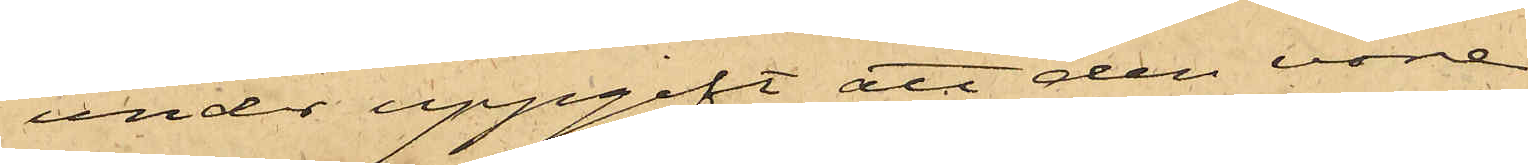under uppgift att den vore
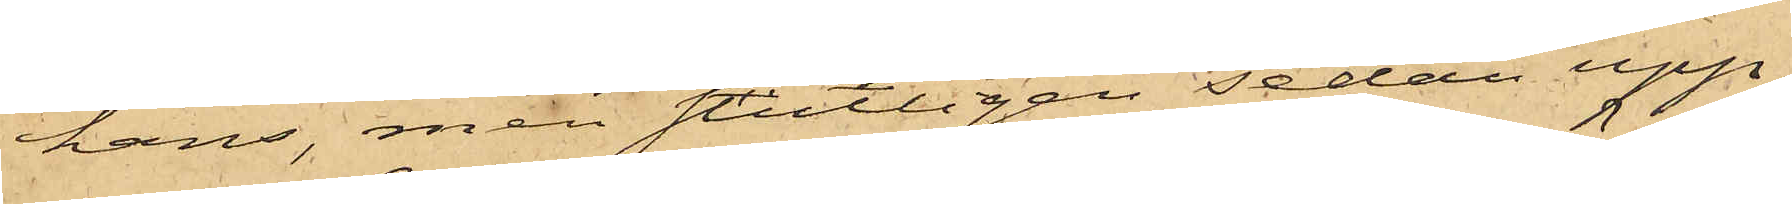hans, men slutligen sedan upp¬
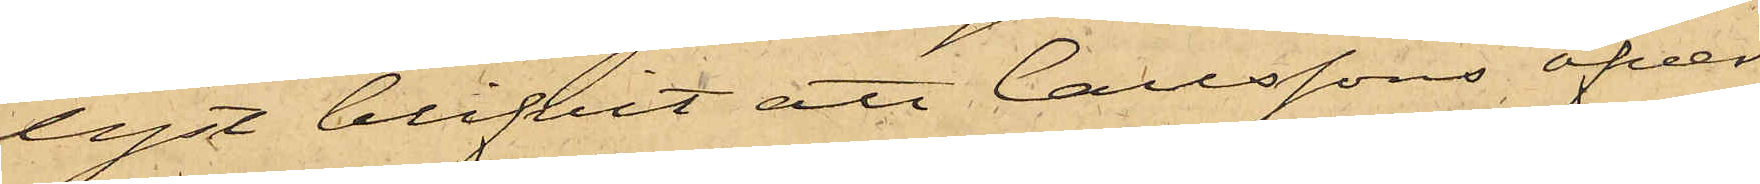lyst blifvit att Carlssons öfver¬
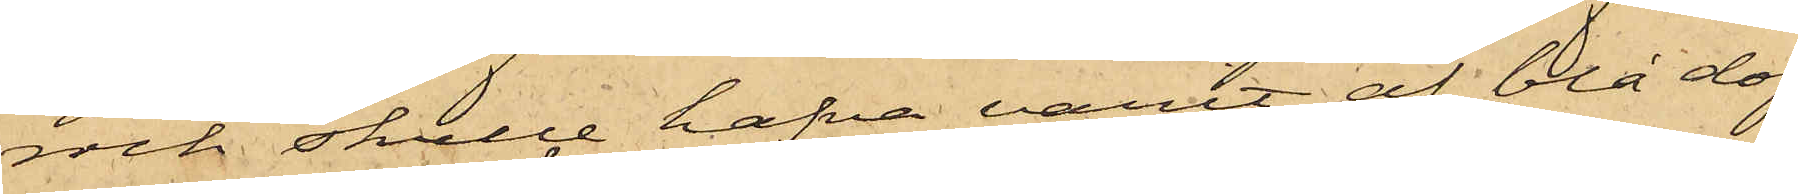rock skulle hafva varit af blå dof¬
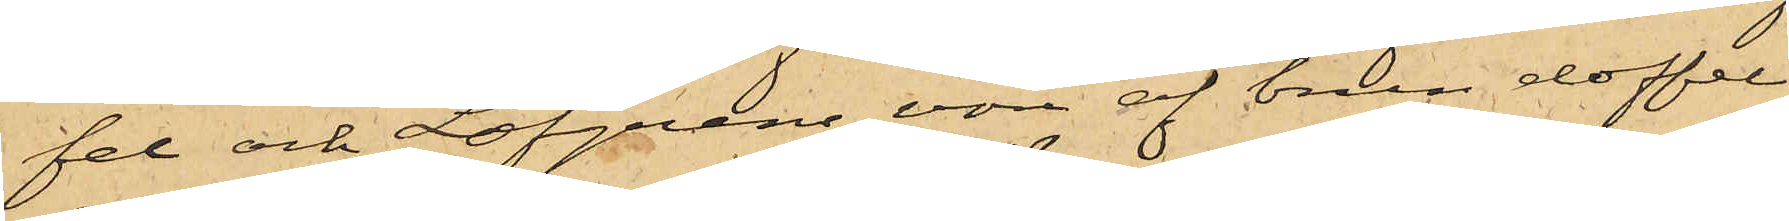fel och Löfgrens vore af brun doffel
